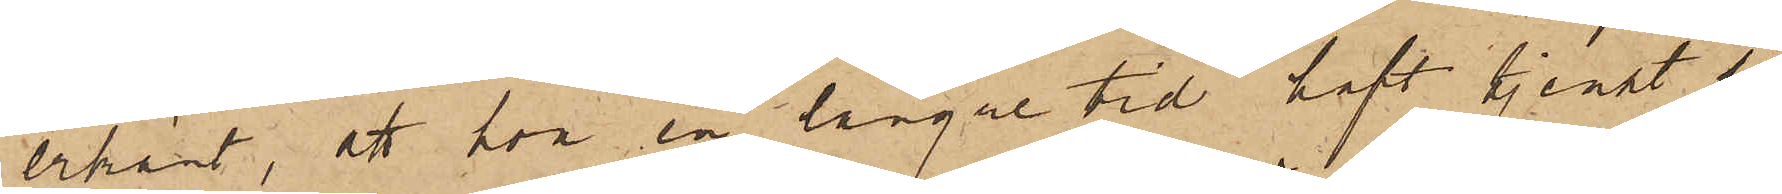erkänt, att hon en längre tid haft tjenst så¬
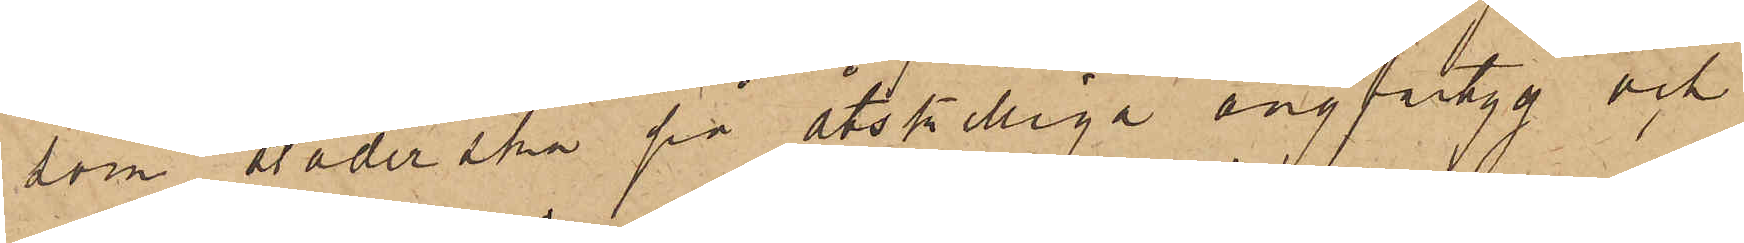som städerska på åtskilliga ångfartyg och
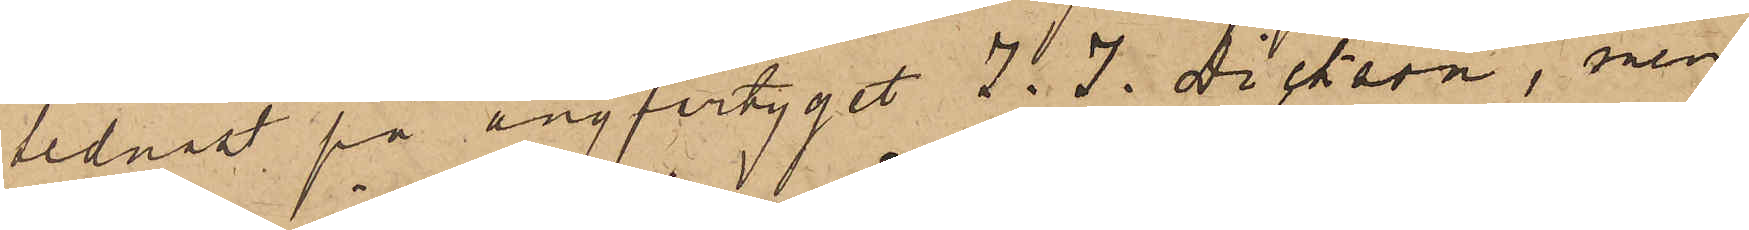sednast på ångfartyget J. J. Dickson, men
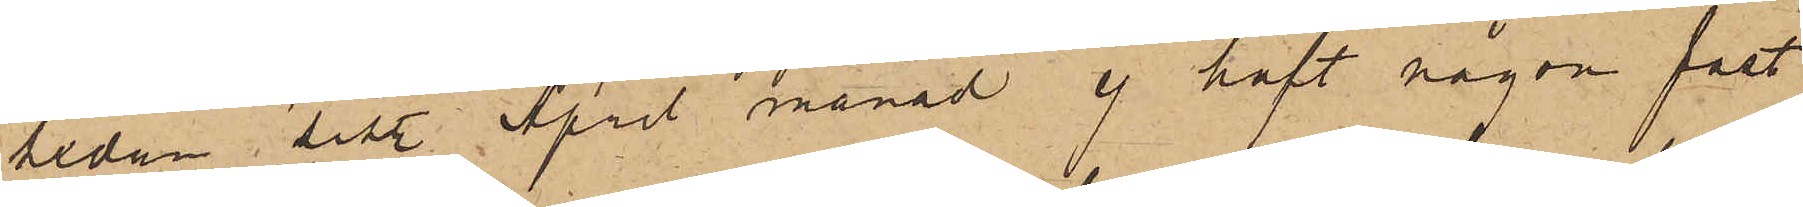sedan sist. April månad ej haft någon fast
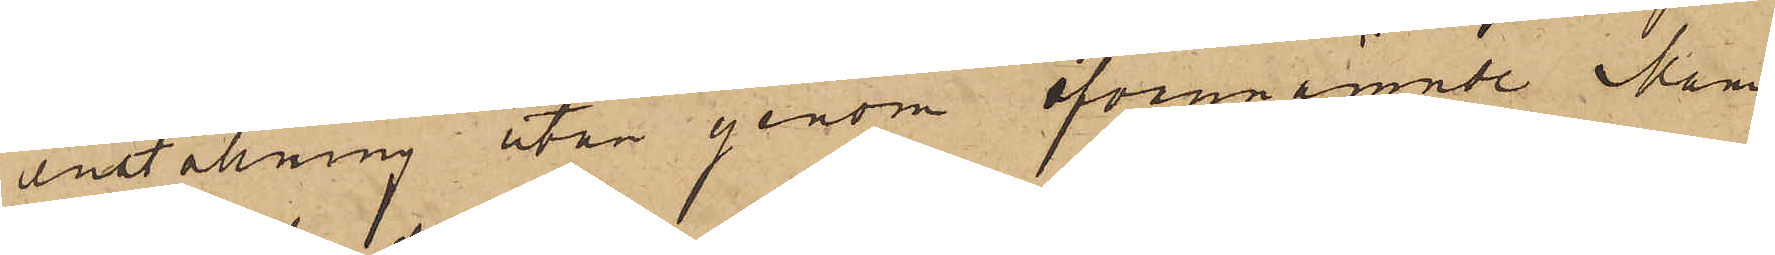anstallning utan genom ofvannämnde Mam¬
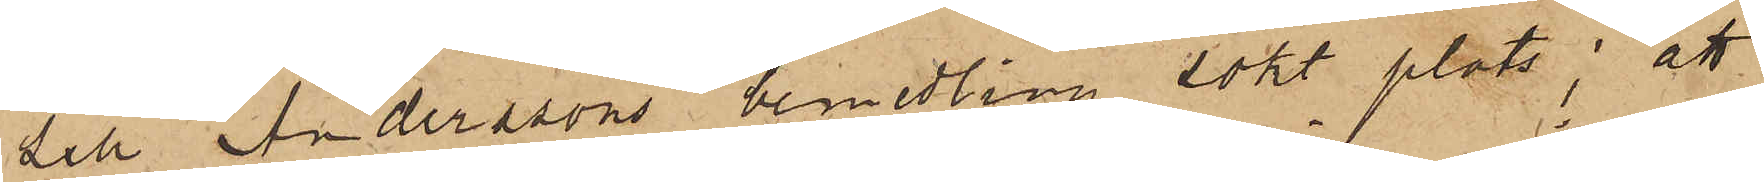sells Anderssons bemedling sökt plats; att
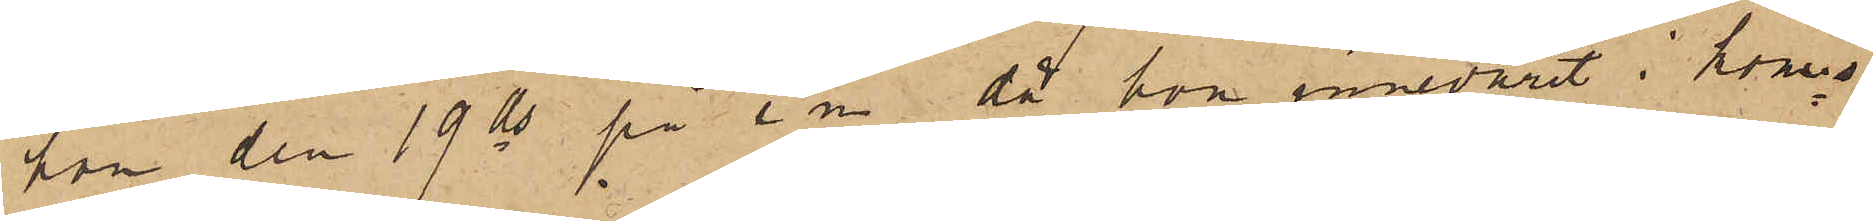hon den 19 ds på e m då hon innevarit i komis¬
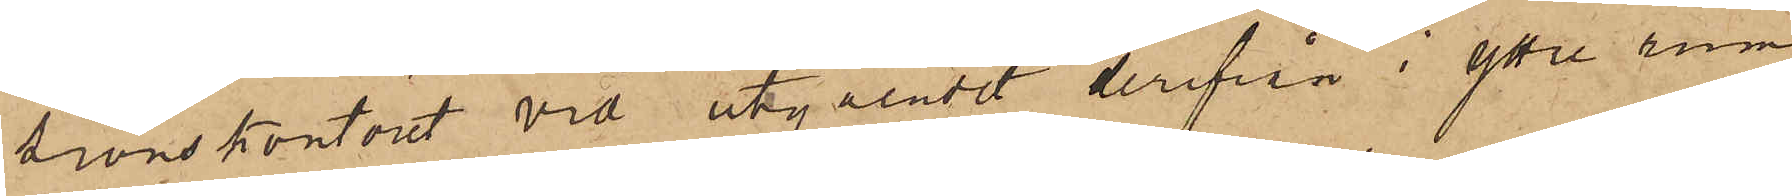sionskontoret vid utgåendet derifrån i yttre rum¬
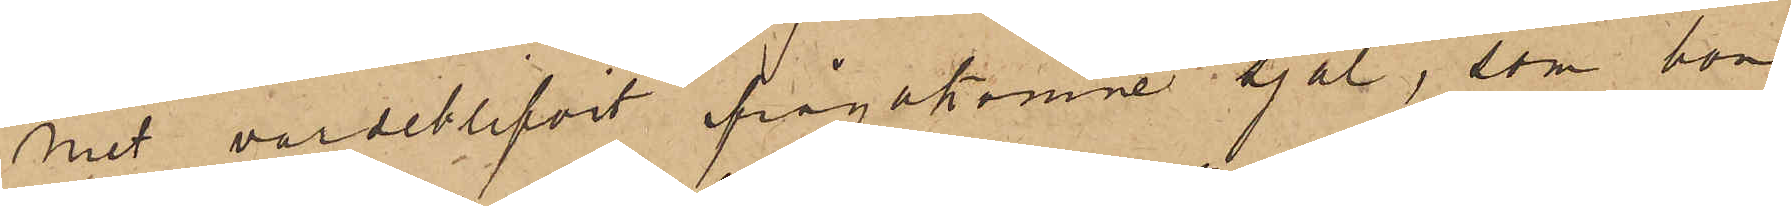met varseblifvit ifrågakomne sjal, som hon
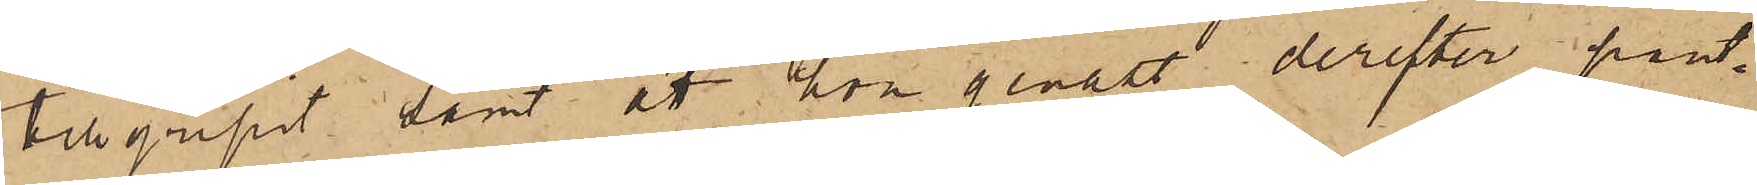tillgripit samt att hon genast derefter pant¬
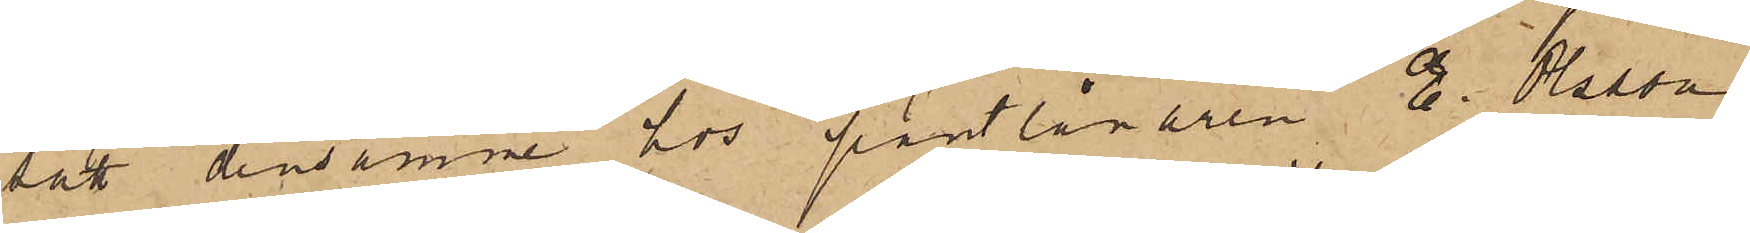satt densamme hos pantlånaren E. Olsson
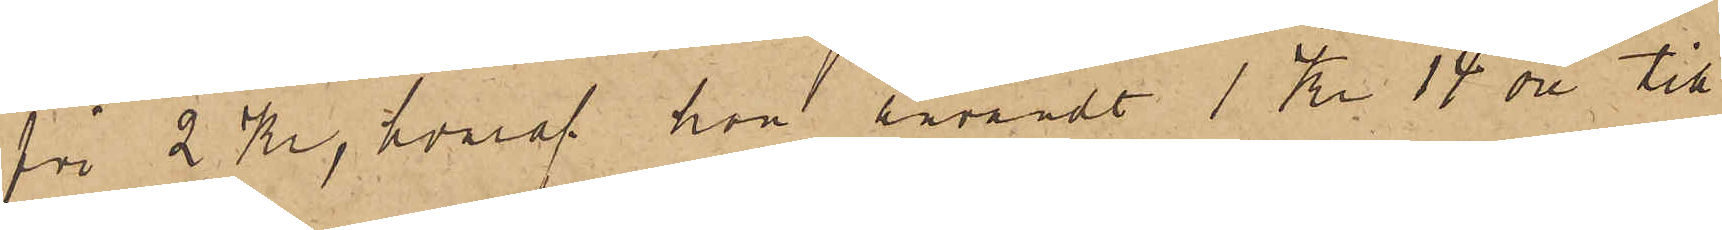för 2 Kr, hvaraf hon användt 1 Kr. 14 öre till
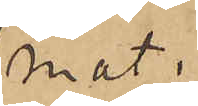mat.
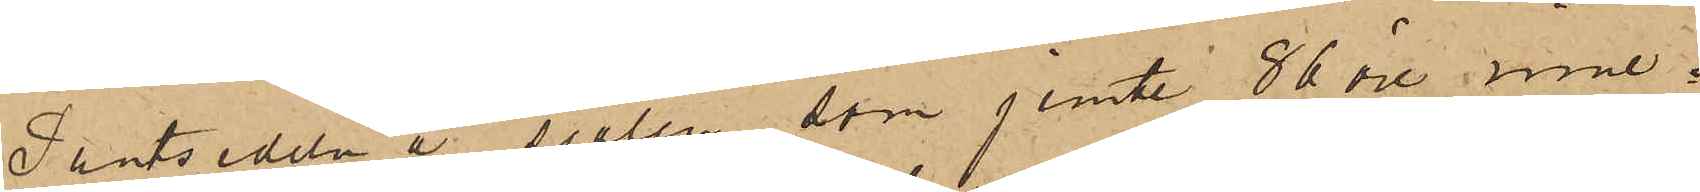Pantsedeln å sjalen, som jemte 86 öre inne¬
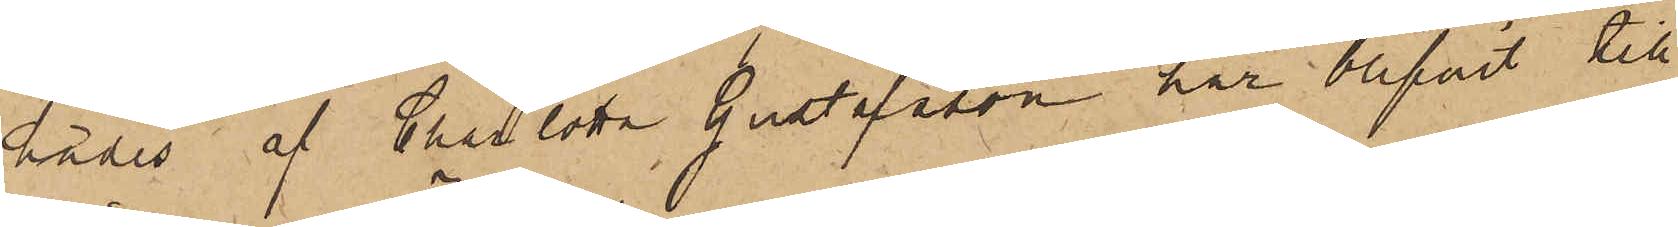hades af Charlotta Gustafsson har blifvit till
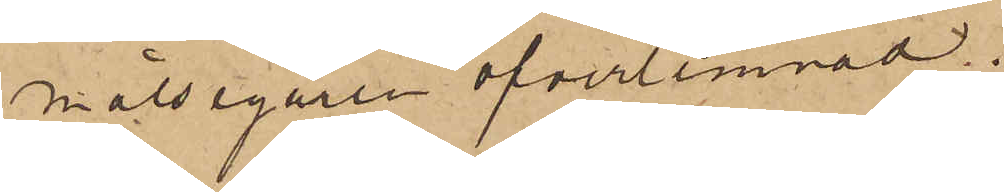målsegaren öfverlemnad.
